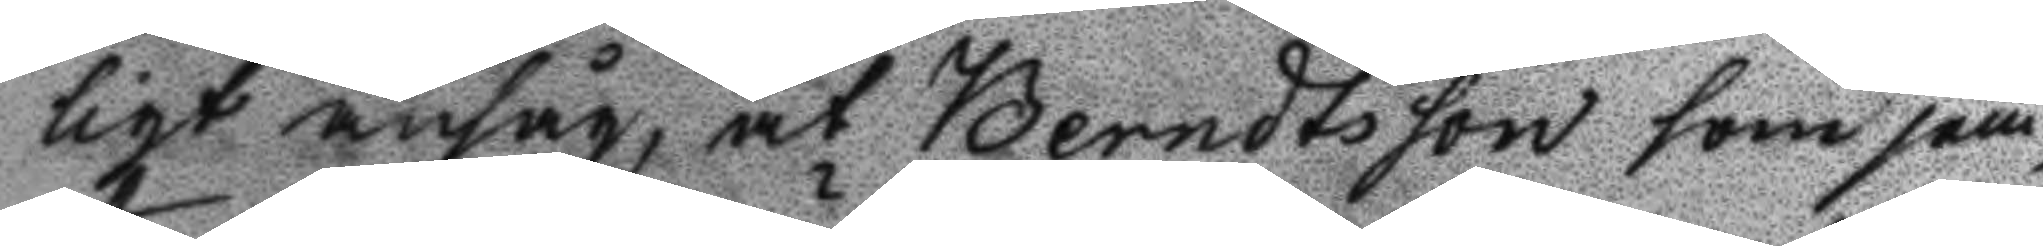ligt ansåg, at Berndtsson som jäm¬
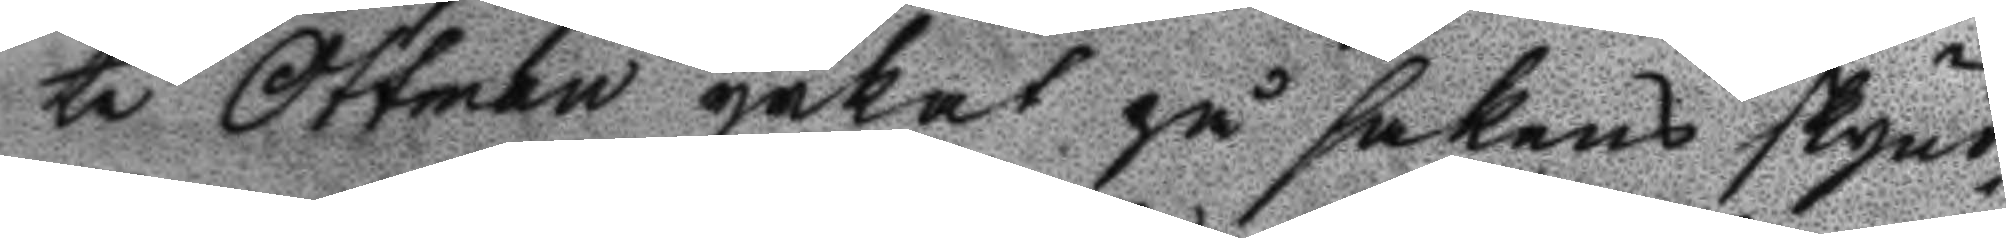te Ottman yrkat på sakens skynd¬
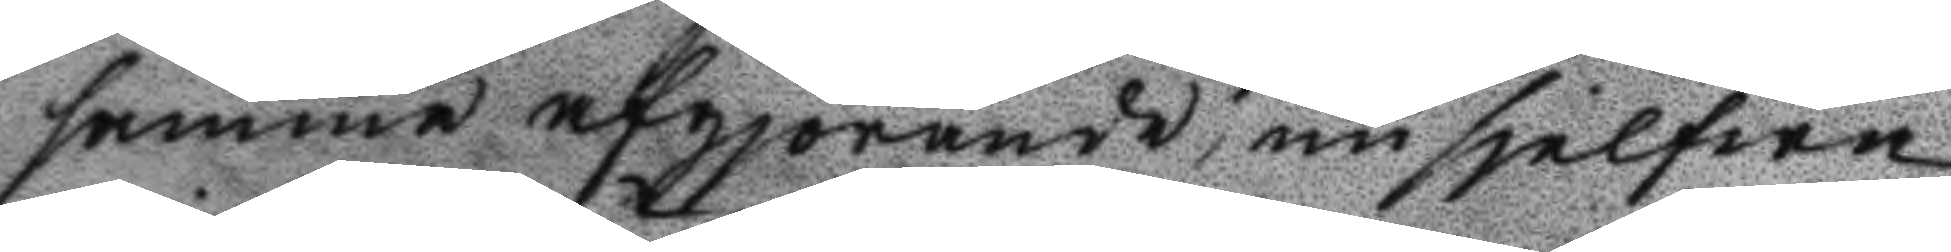samma afgjörande, nu sjelfwa
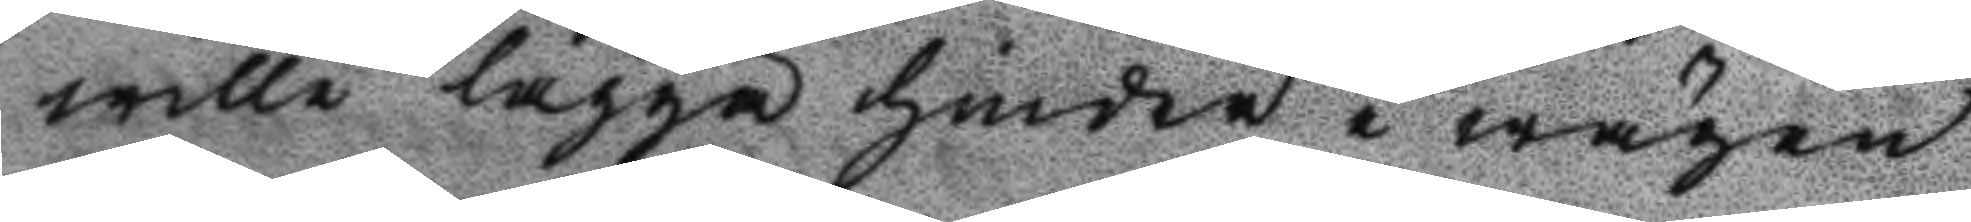wille lägga hinder i wägen
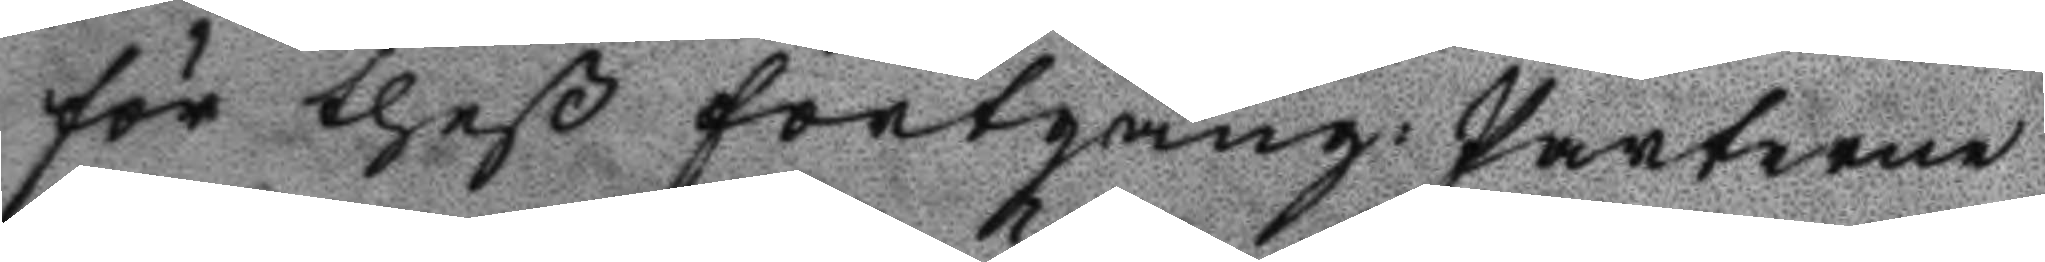för theß fortgång: Parterne
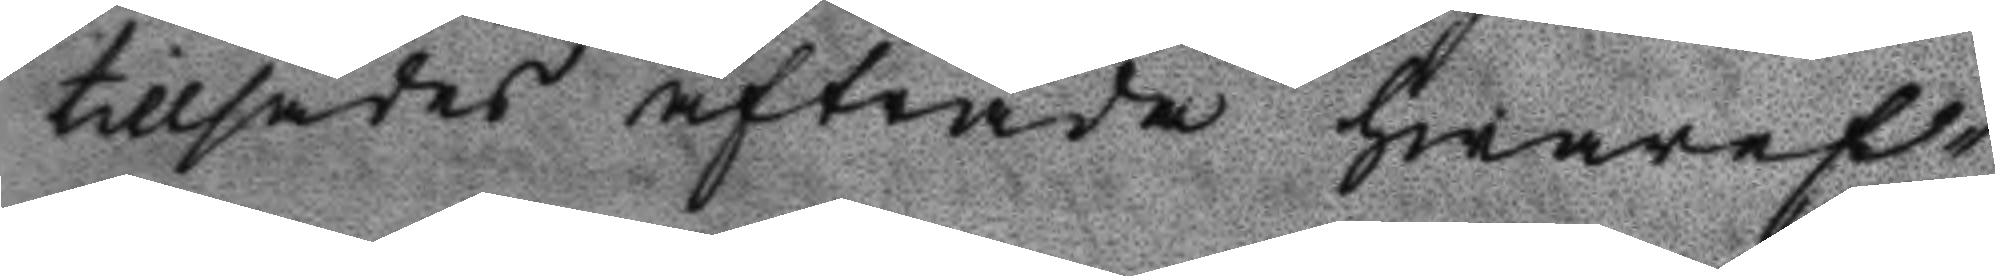tillsades afträda hwarefd¬
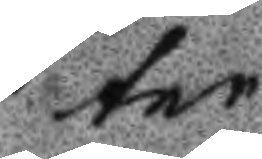ter
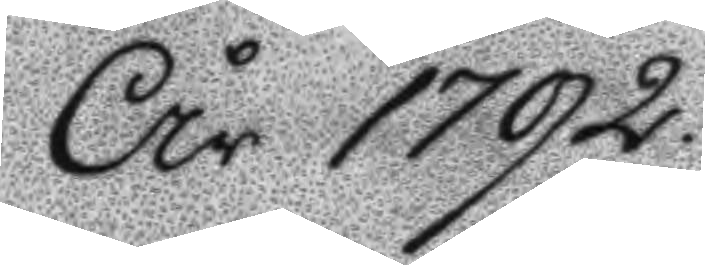År 1792
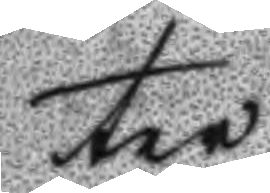ter
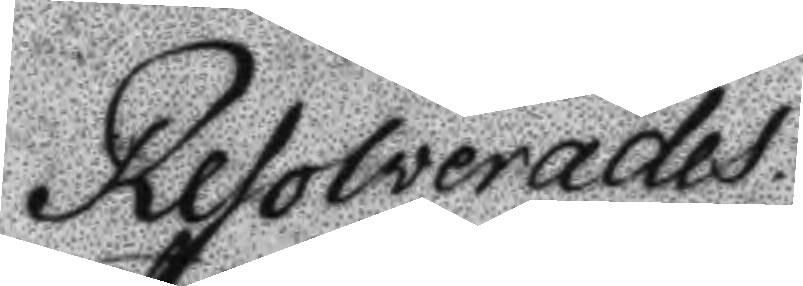Resolverades
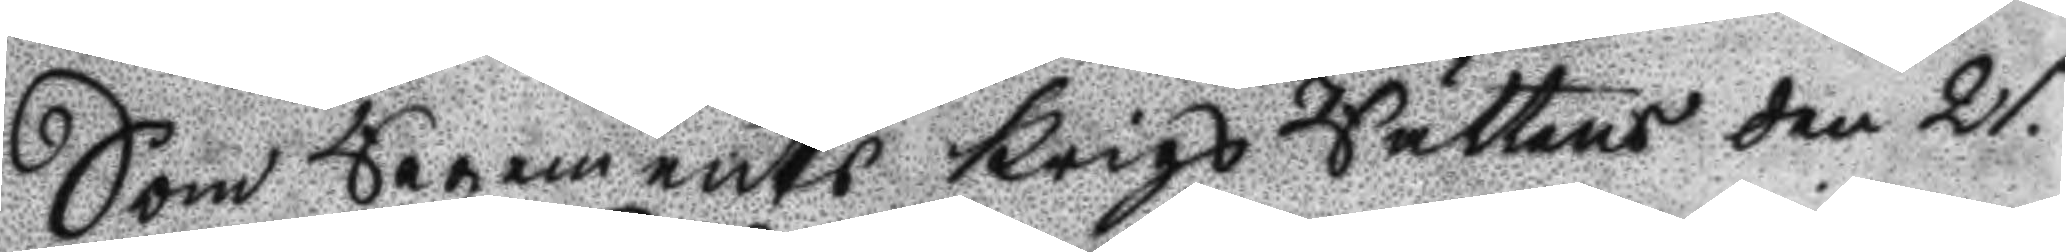Som Regements Krigs Rättens den 21.
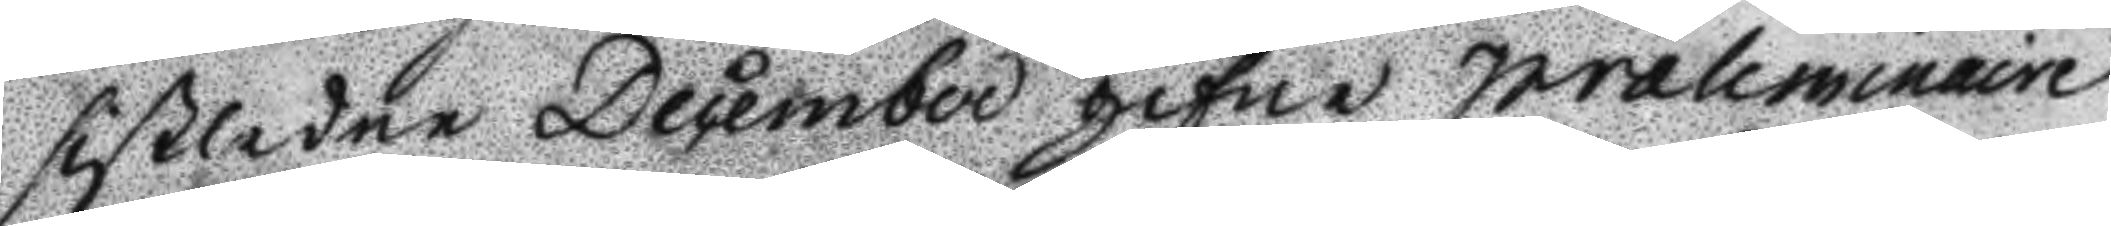sistledne December gifne præliminaire
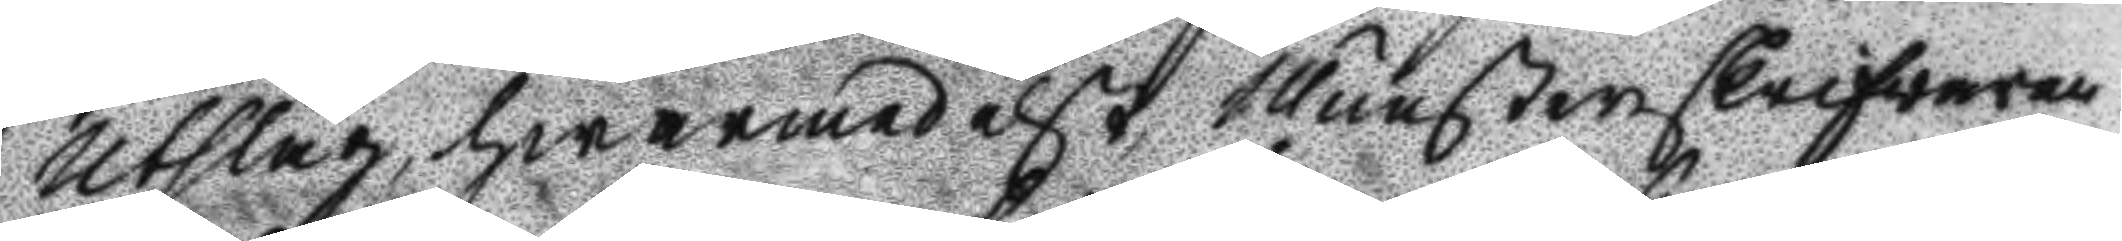Utslag, hwarmedelst Munsterskrifvaren
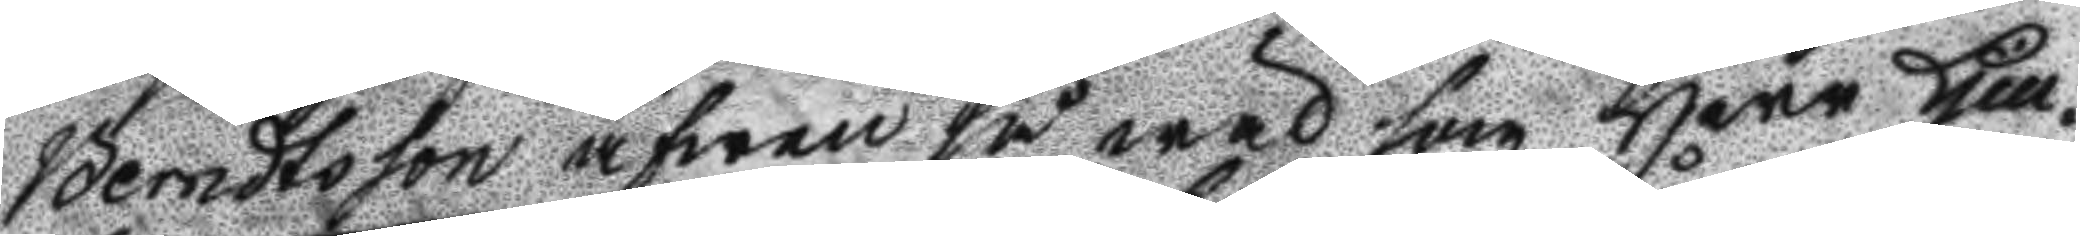Berndtsson äfwen så wad som Herr Lieu¬
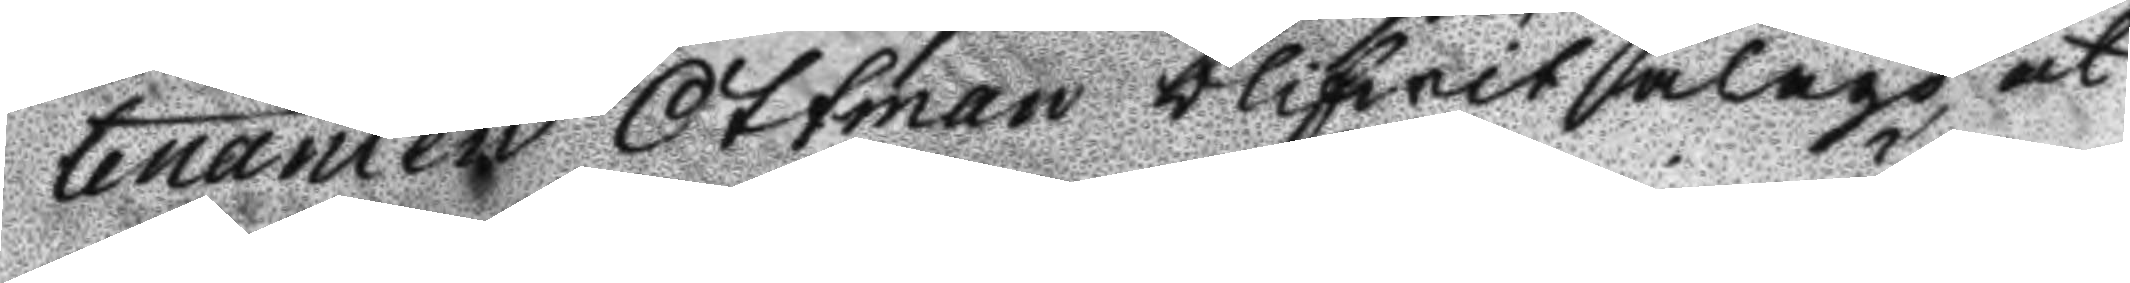tnanten Ottman blifwit ålagd at
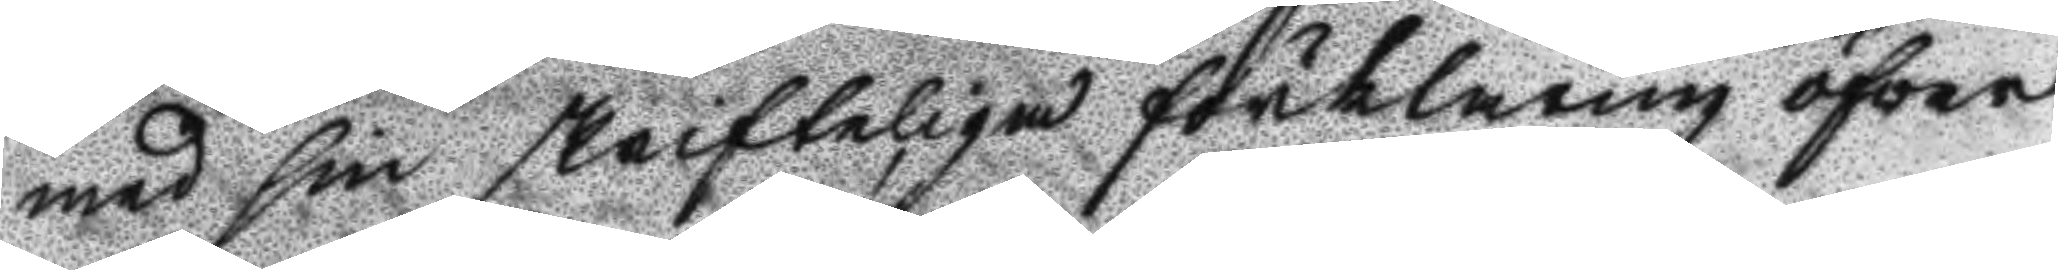med sin skrifteliga förklaring öfver
